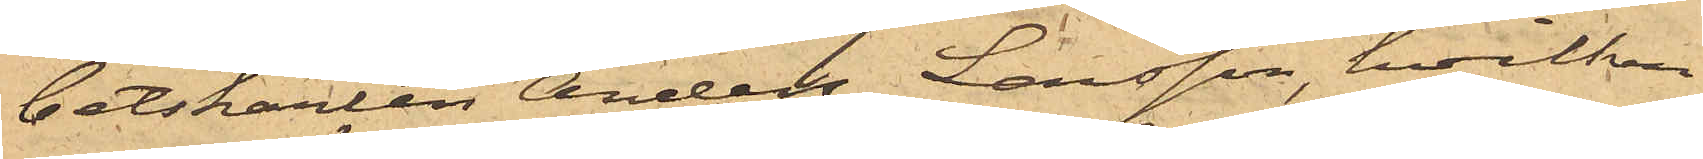betskarlen Anders Larsson, hvilken
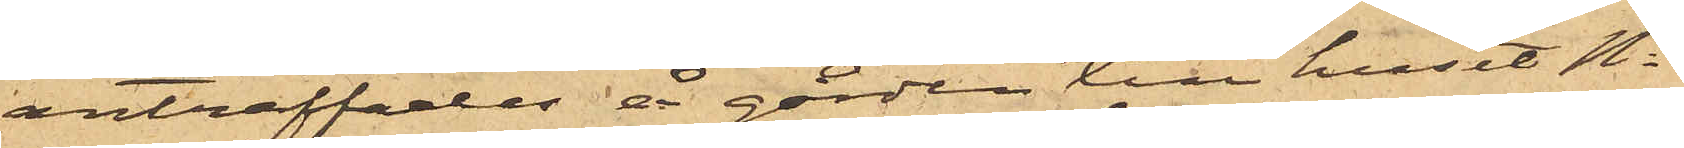anträffades å gården till huset No
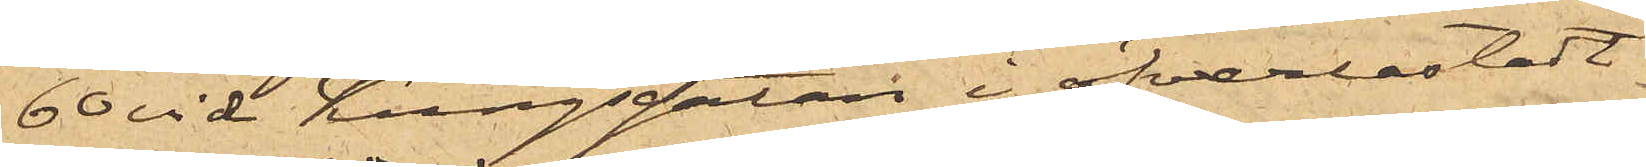60 vid Kungsgatan i öfverlastadt
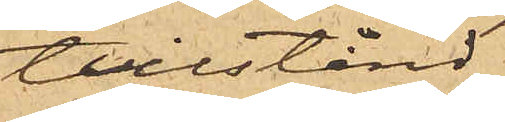tillstånd
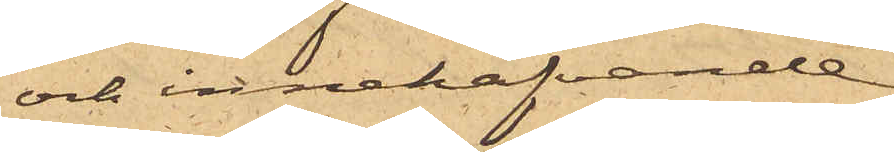och innehafvande
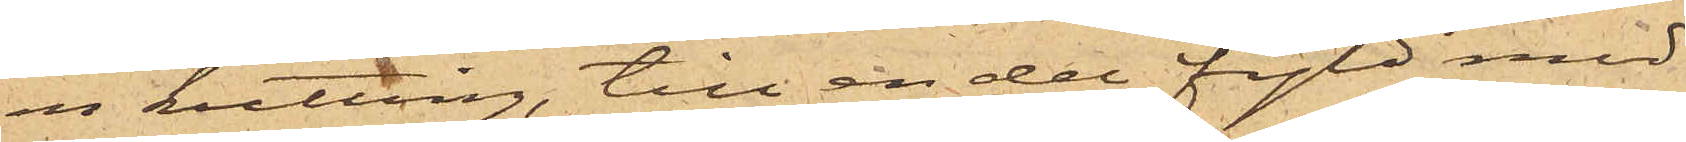en kutting, till en del fyld med
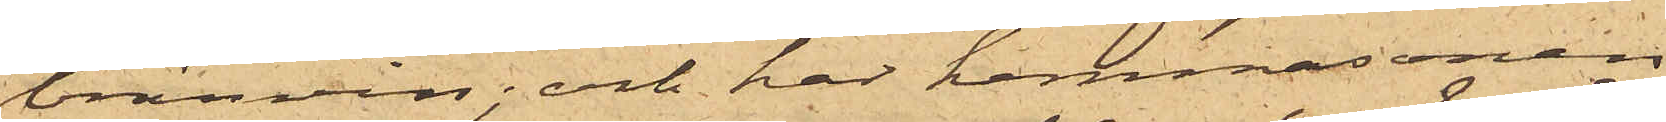bränvin; och har hemmasonen
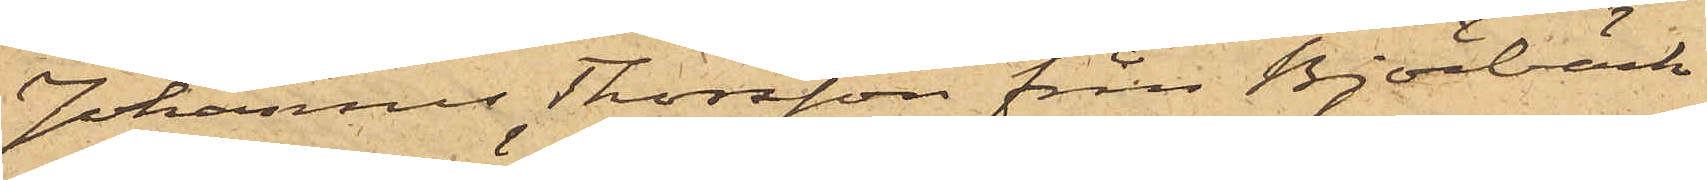Johannes Thorsson från Björbäck
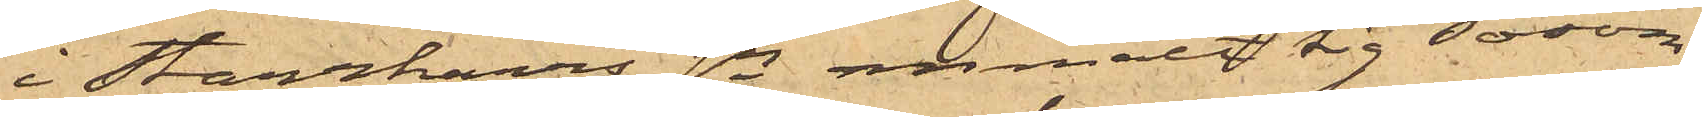i Starrkärrs sn anmält sig såsom
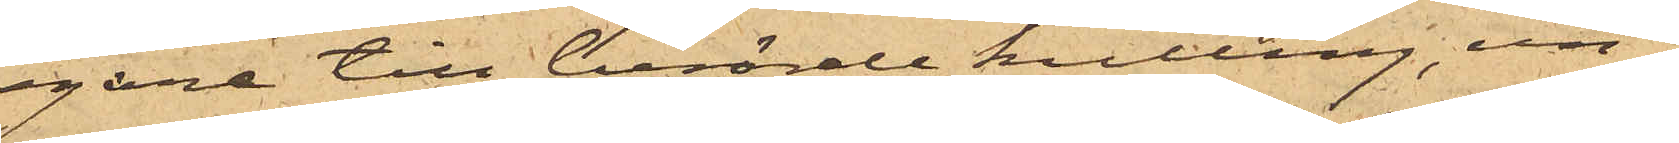egare till berörde kutting, un¬
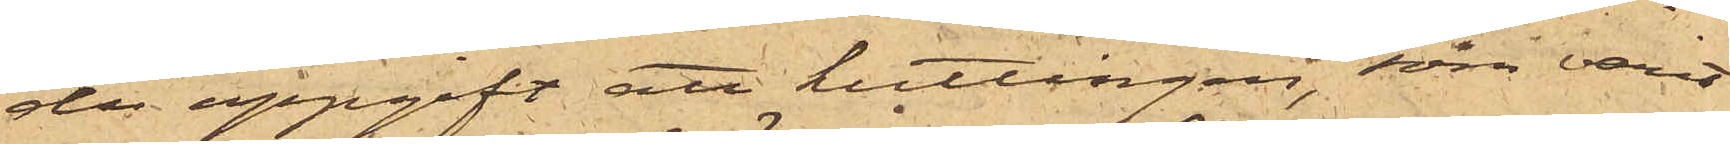der uppgift att kuttingen, som varit
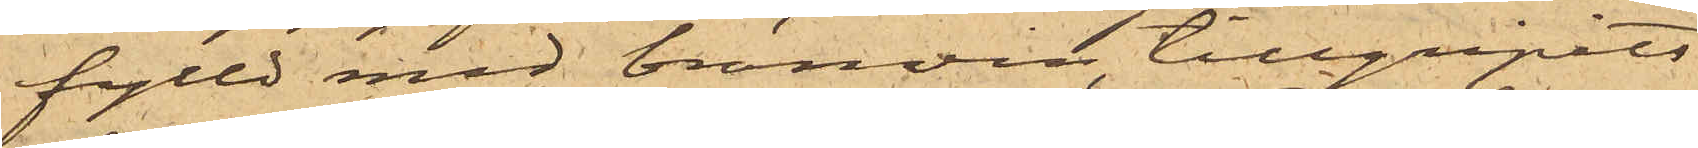fylld med bränvin, tillgripits
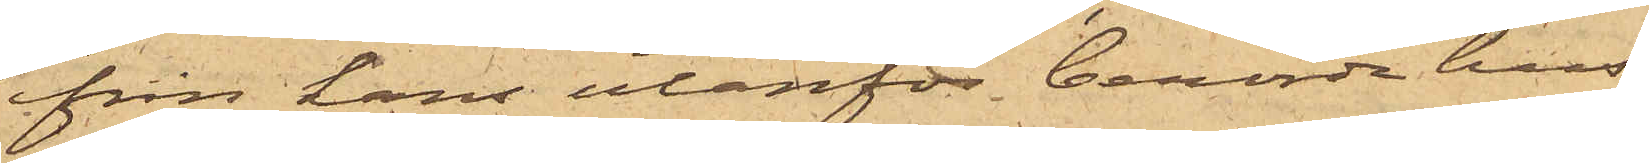från hans utanför berörde hus
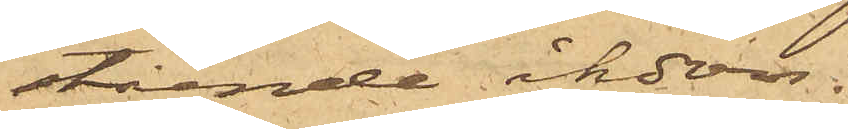stående åkdon.
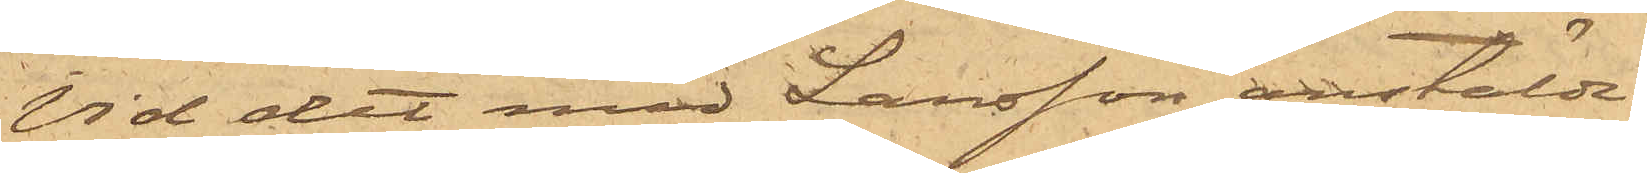Vid det med Larsson anstälde
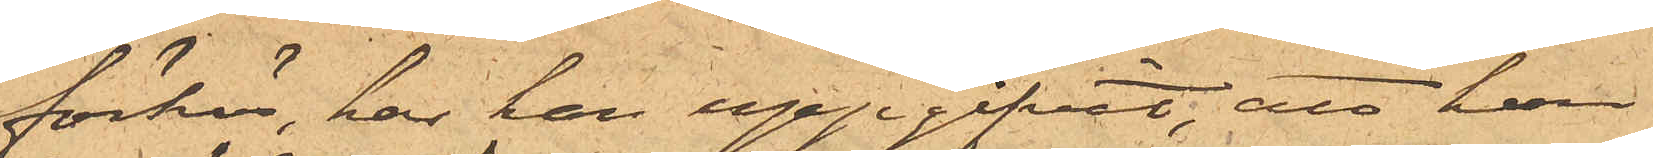förhör, har han uppgifvit, att han
